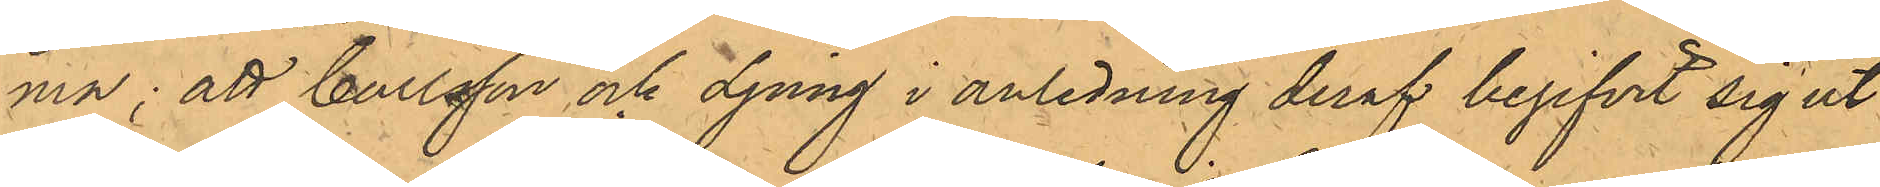ma; att Carlsson och Ljung i anledning deraf begifvit sig ut¬
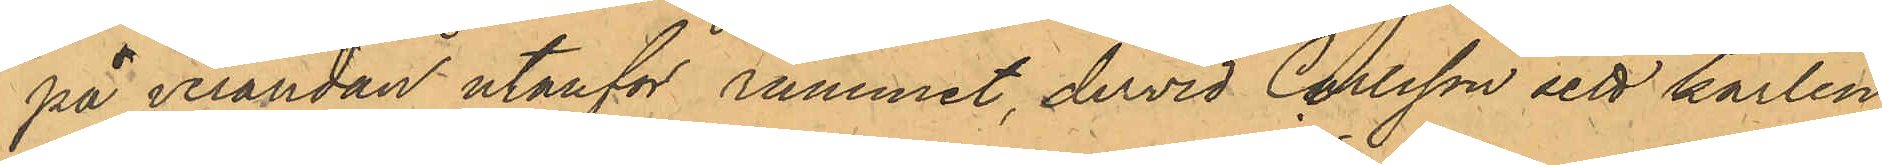på verandan utanför rummet, dervid Carlsson sett karlen
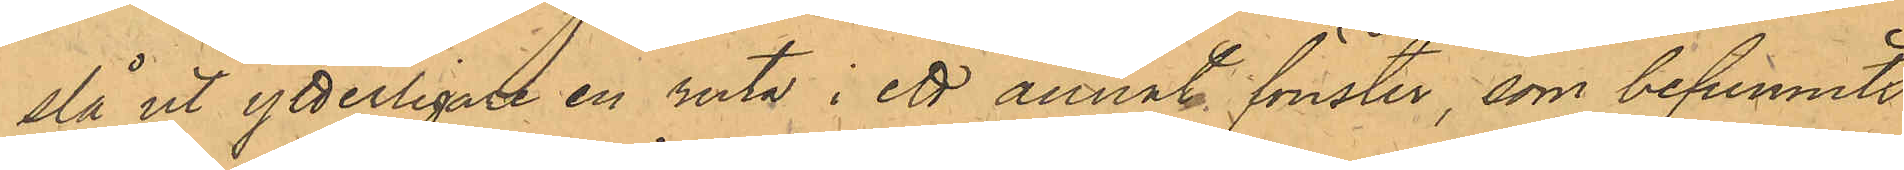slå ut ytterligare en ruta i ett annat fönster, som befunnits
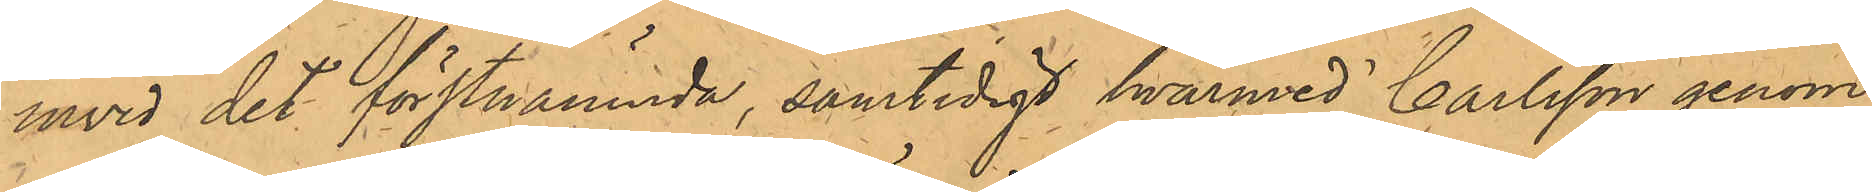invid det förstnämnda, samtidigt hvarmed Carlsson genom
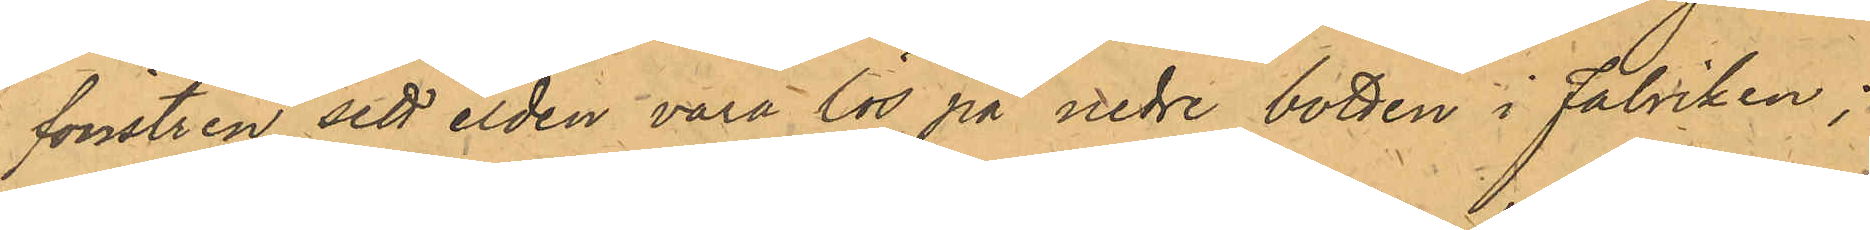fönstren sett elden vara lös på nedre botten i Fabriken;
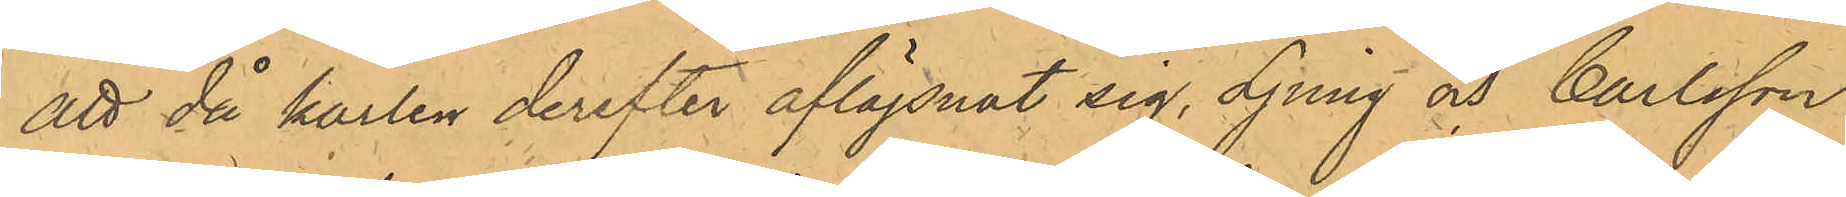att då karlen derefter aflägsnat sig, Ljung och Carlsson
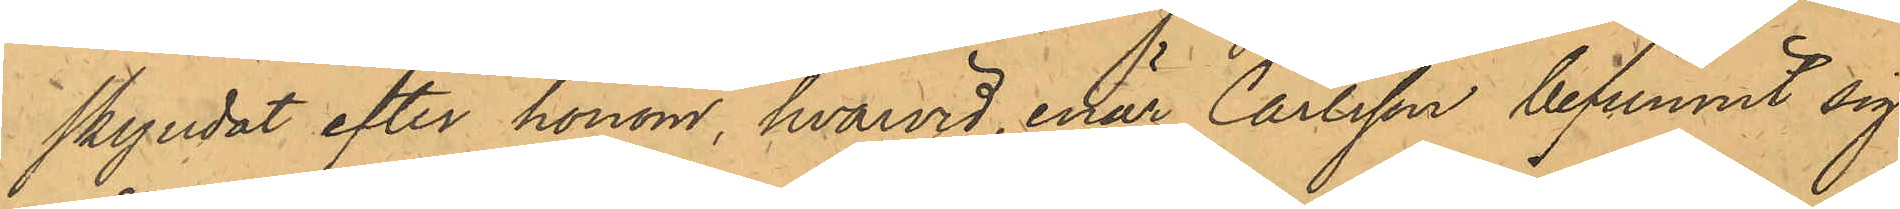skyndat efter honom, hvarvid, enär Carlsson befunnit sig
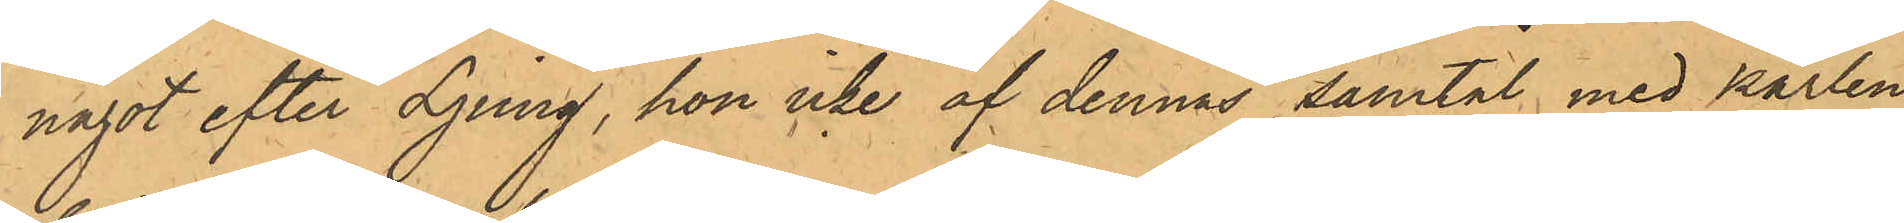något efter Ljung, hon icke af dennas samtal med karlen,
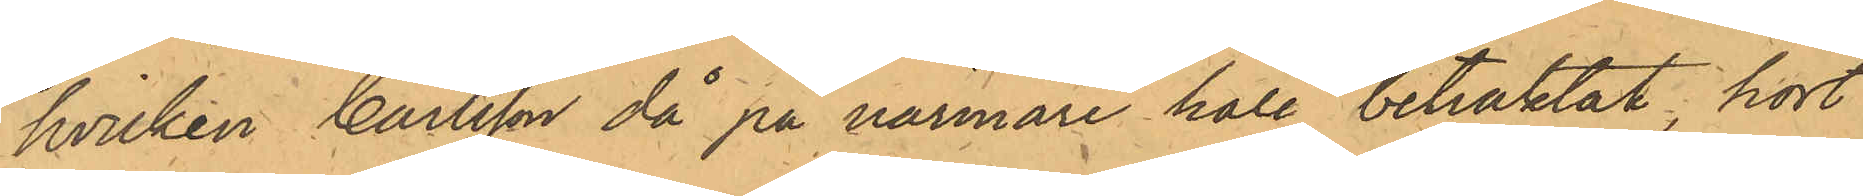hvilken Carlsson då på närmare håll betraktat, hört
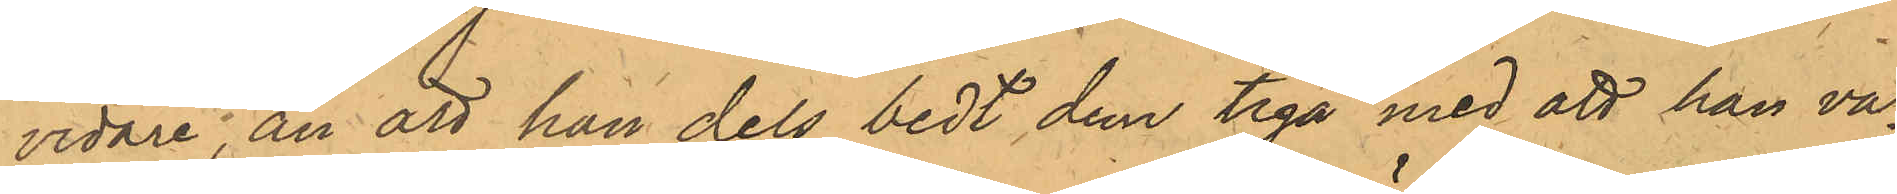vidare, än att han dels bedt dem tiga med att han va¬
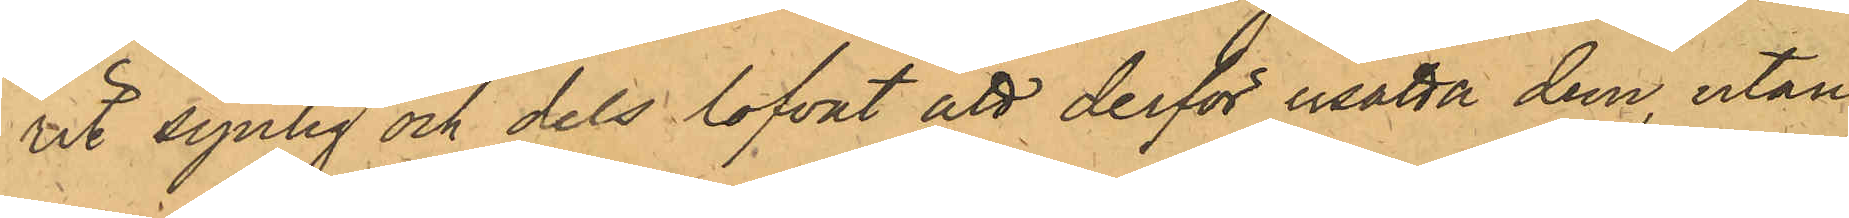rit synlig och dels lofvat att derför esätta dem, utan
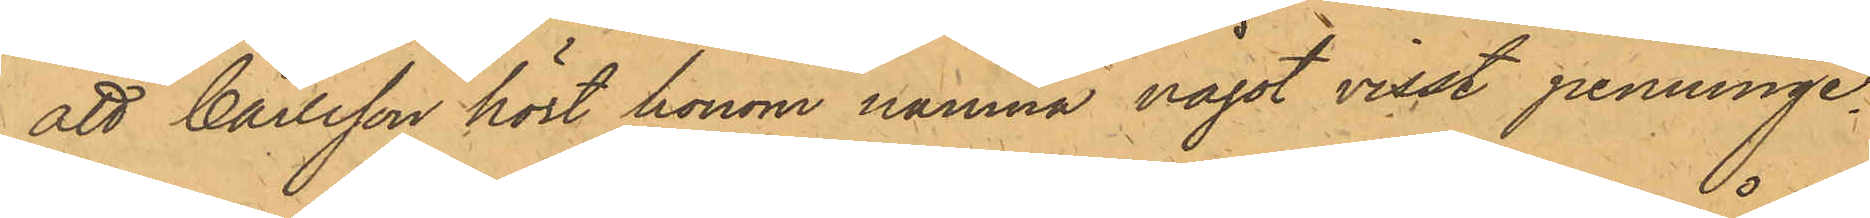att Carlsson hört honom nämna något visst penninge¬
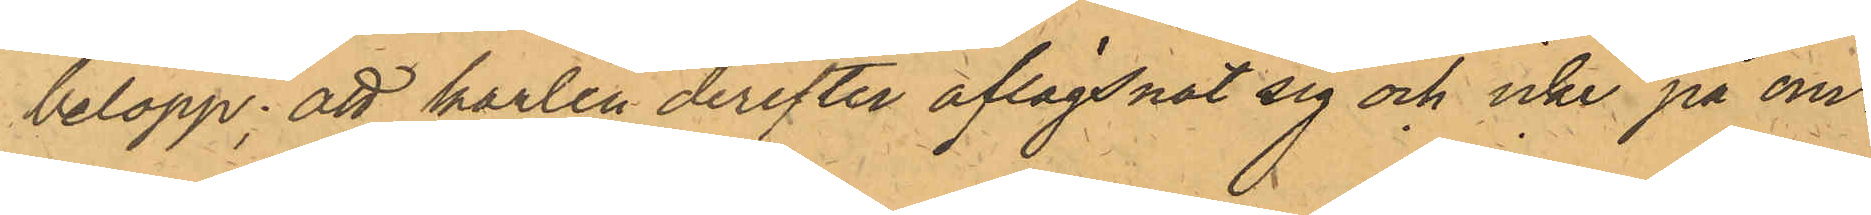belopp; att karlen derefter aflägsnat sig och icke på om¬
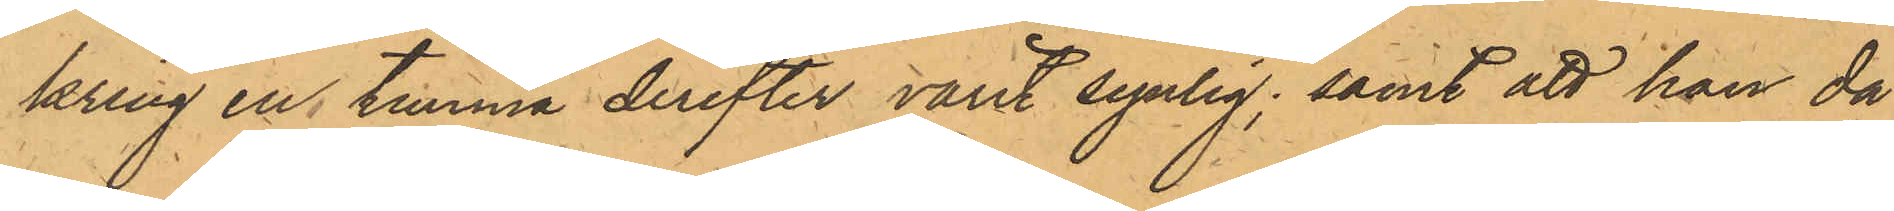kring en timma derefter varit synlig; samt att han då
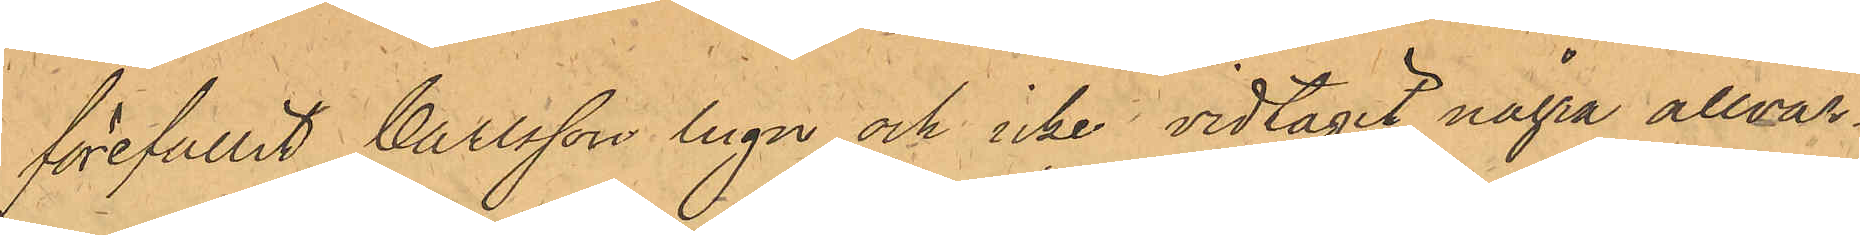förefallit Carlsson lugn och icke vidtagit några allvar¬
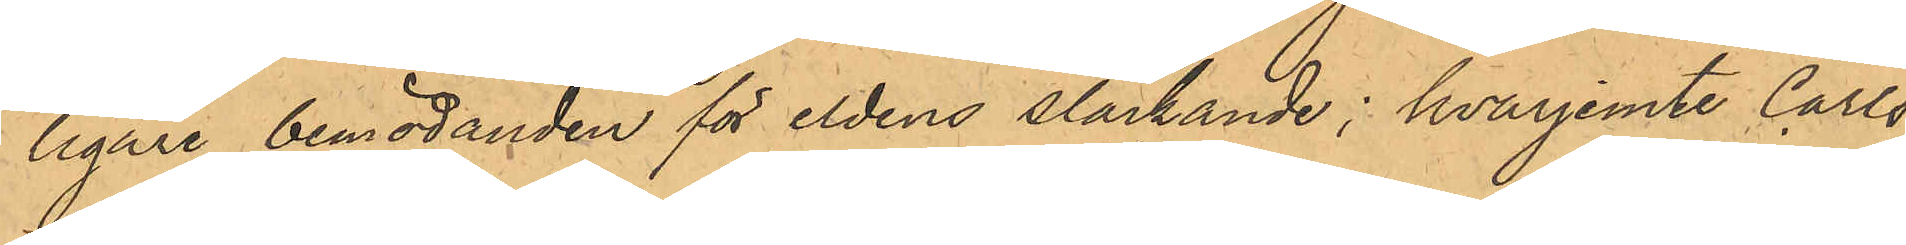ligare bemödanden för eldens släckande; hvarjemte Carls¬
